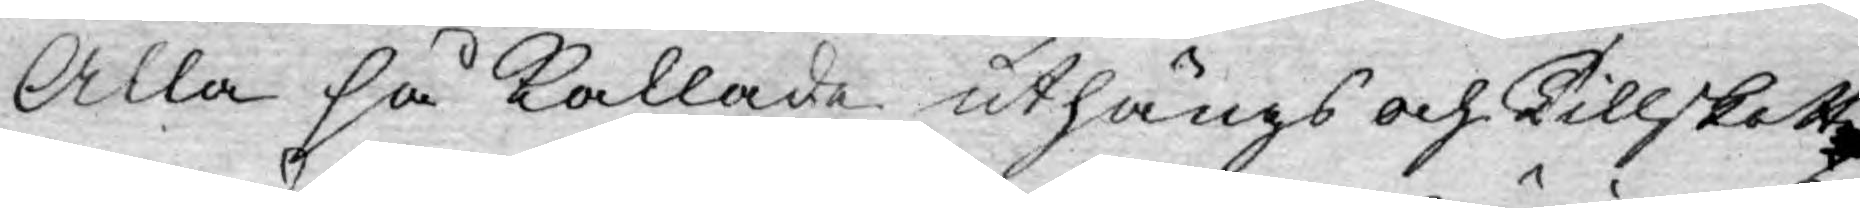Alla så kallade uthängs och Tillskott
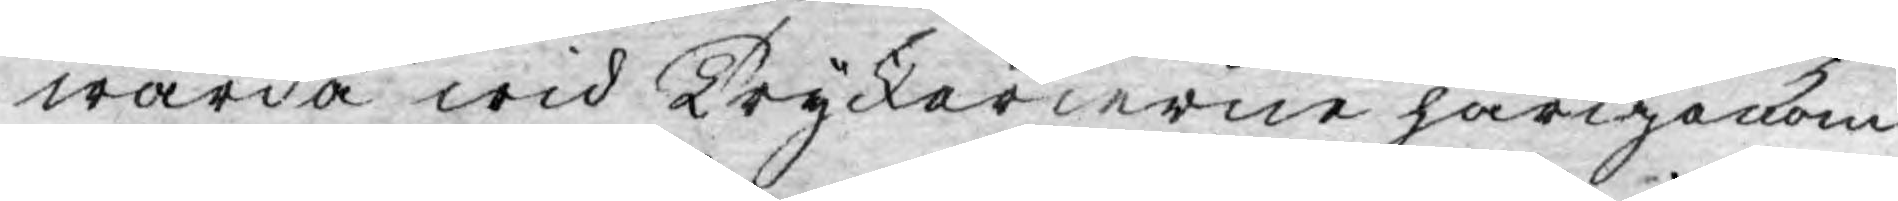warda wid Tryckerierne härigenom
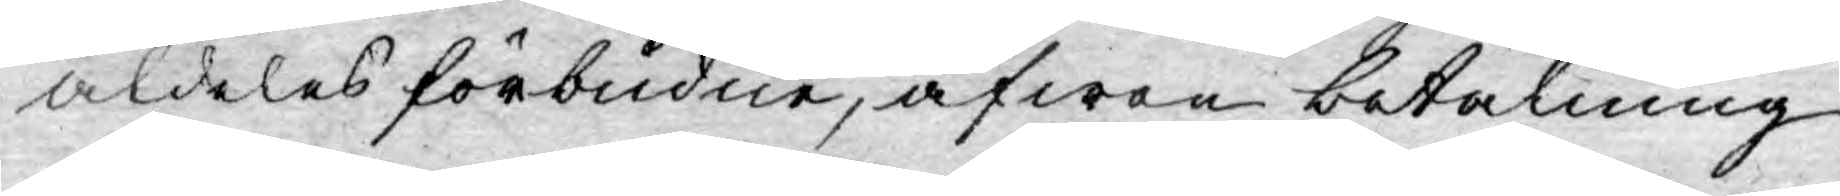aldeles förbudne, äfwen betalning
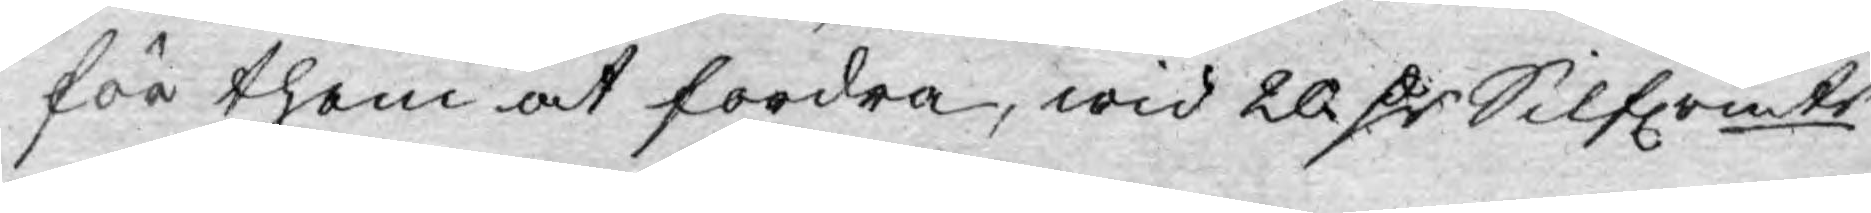för them at fordra, wid 20 D:r Silfrmts
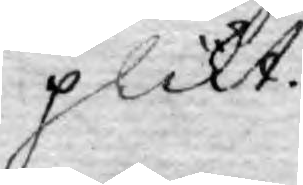plikt.
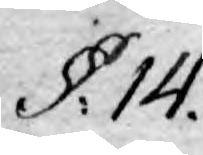§. 14.
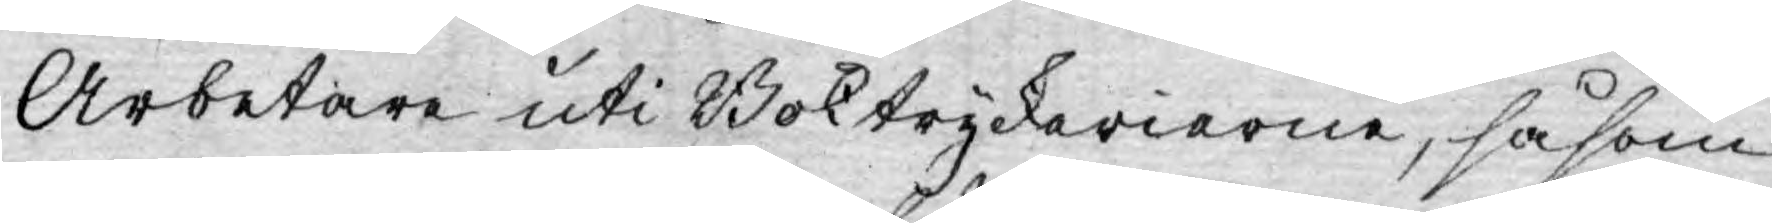Arbetare uti Boktryckerierne, såsom
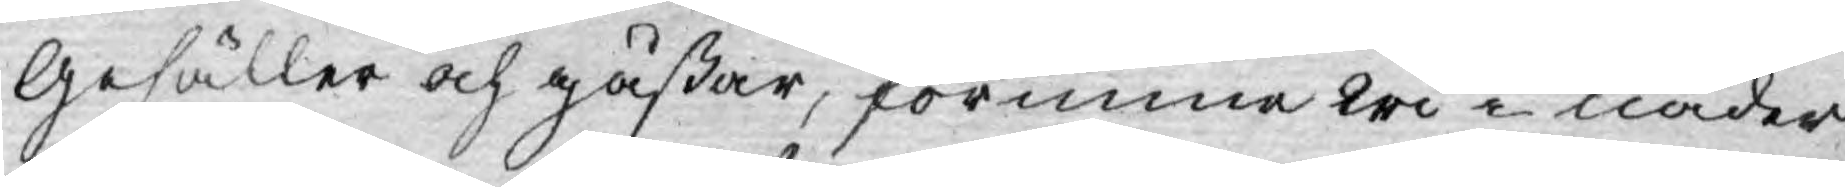Gesäller och gåßar, förunne wi i nåder
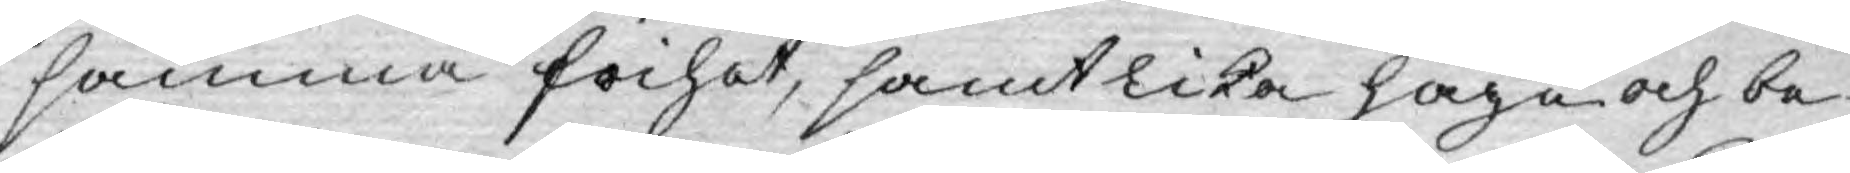samma frihet, samt lika höge och be¬
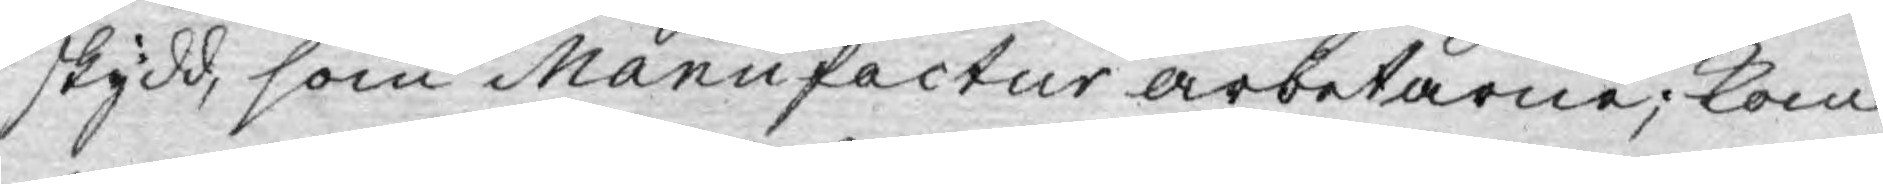skydd, som Manufactur arbetarne; kom¬
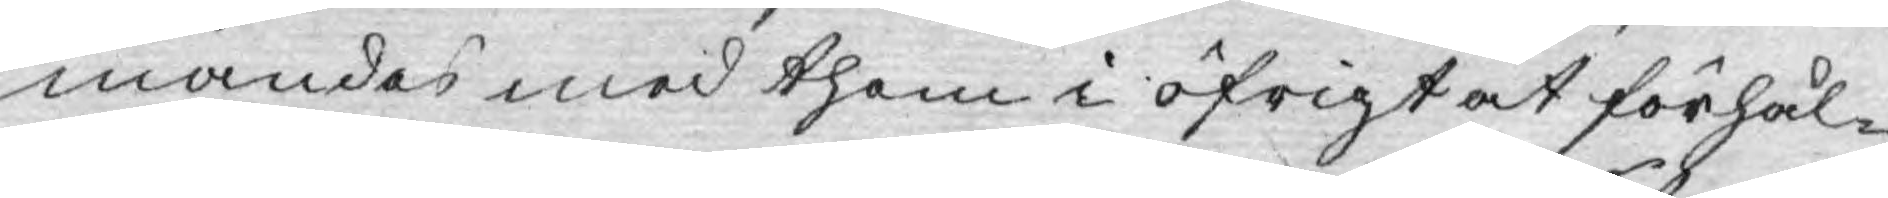mandes med them i öfrigt at förhål¬
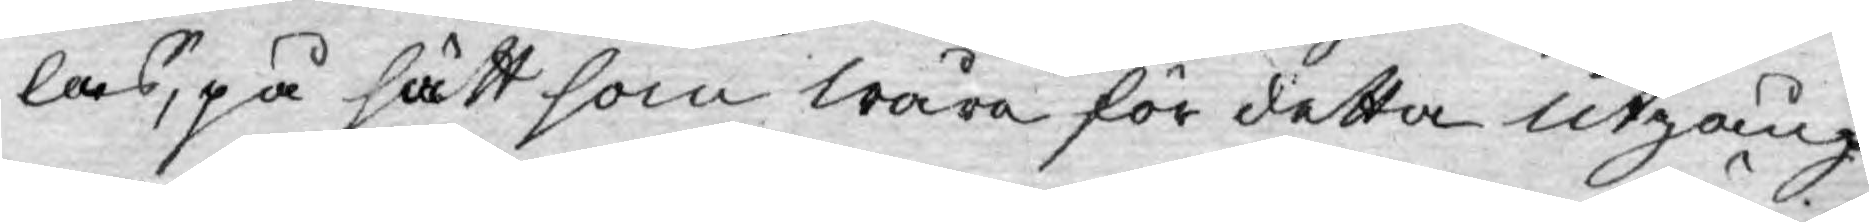las, på sätt som wåra för detta utgång¬
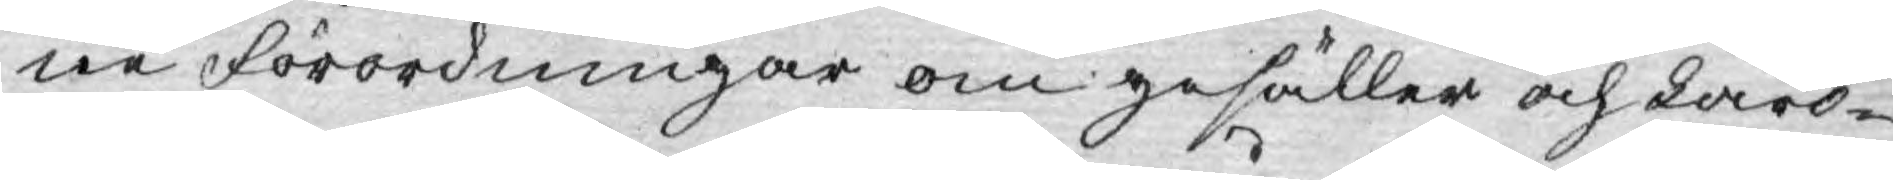ne Förordningar om gesäller och Läro¬
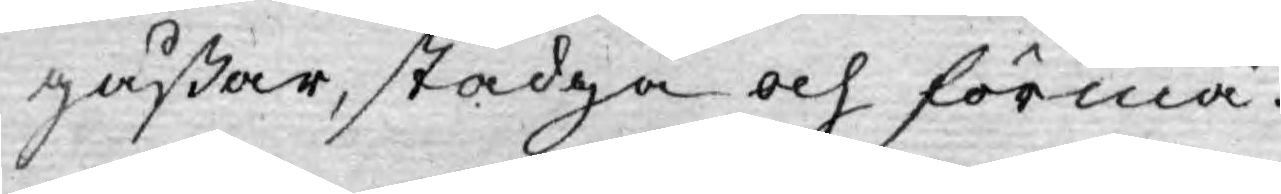gåßar, stadga och förmå.
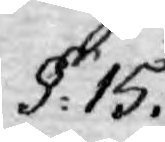§: 15.
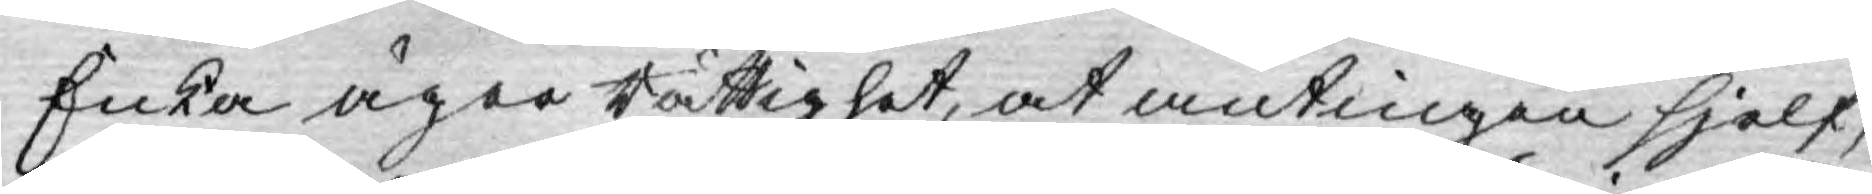Enka äger rättighet, at antingen sjelf,
